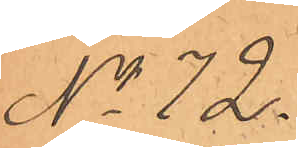No 72.
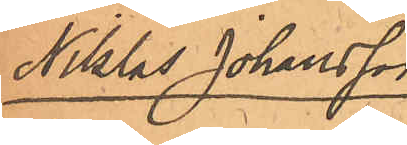Niklas Johansson
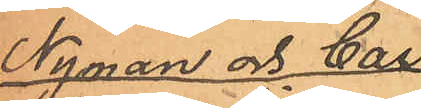Nyman och Carl
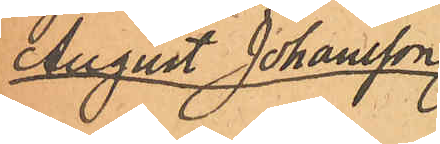August Johansson
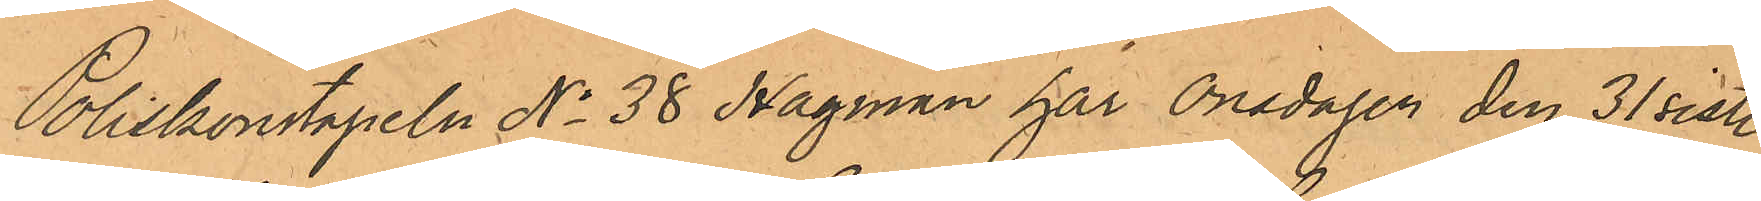Poliskonstapeln No 38 Hagman har Onsdagen den 31 sistl.
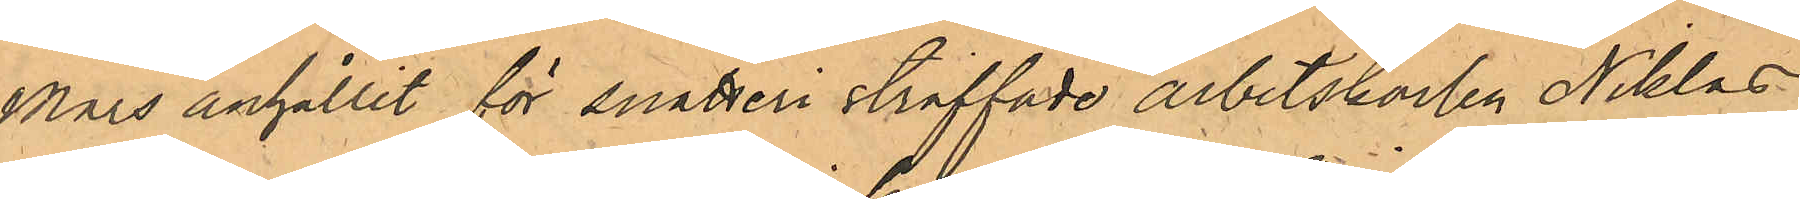Mars anhållit för snatteri straffade arbetskarlen Niklas
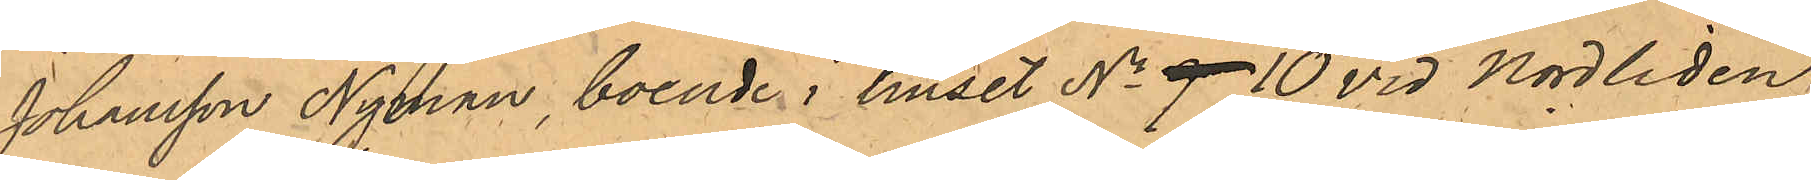Johansson Nyman, boende i huset No 9 10 vid Nordliden
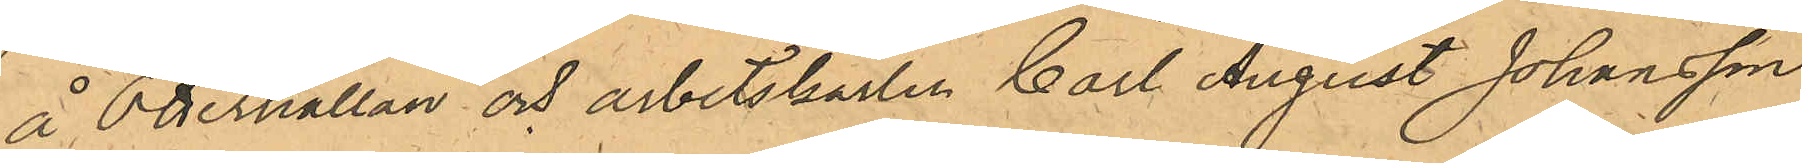å Otterhällan och arbetskarlen Carl August Johansson
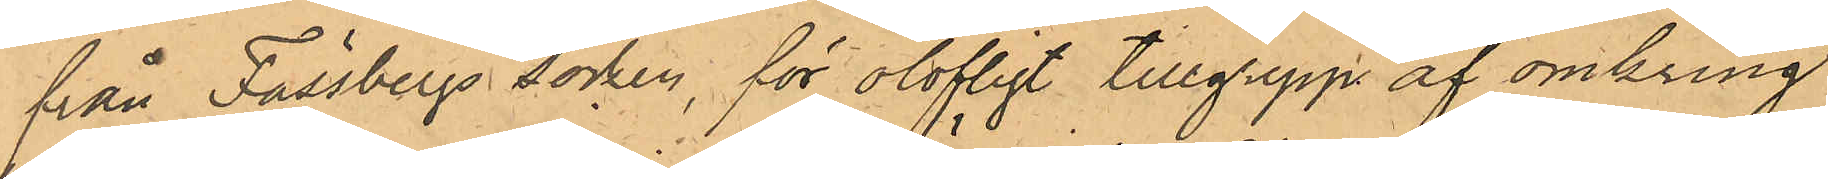från Fässbergs socken, för olofligt tillgrepp af omkring
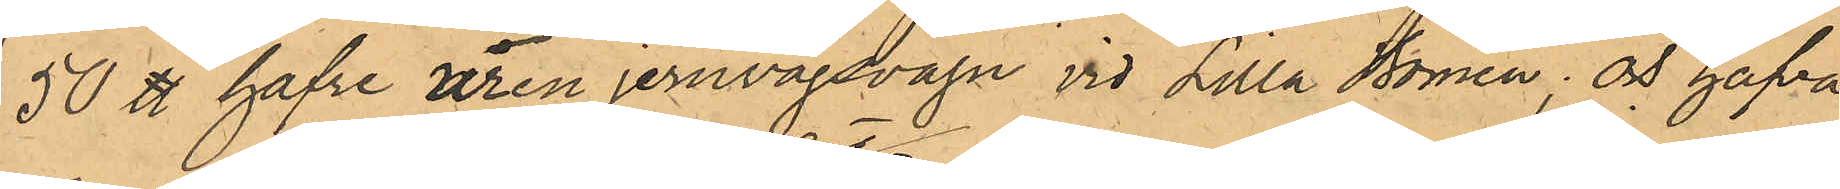50 ℔ hafre ur en jernvägsvagn vid Lilla Bomen; och hafva
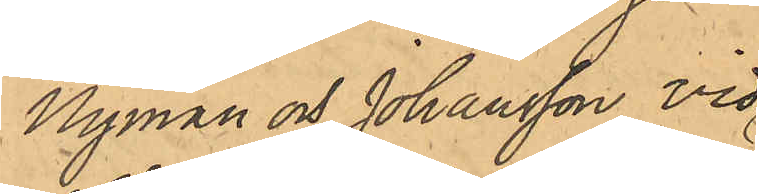Nyman och Johansson vid
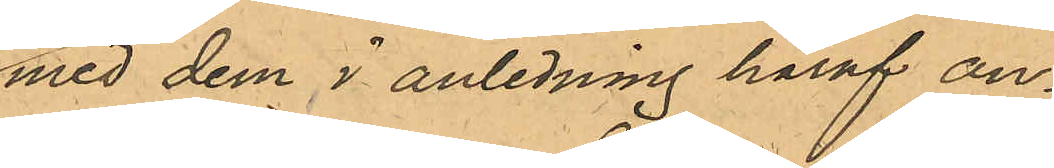med dem i anledning häraf an¬
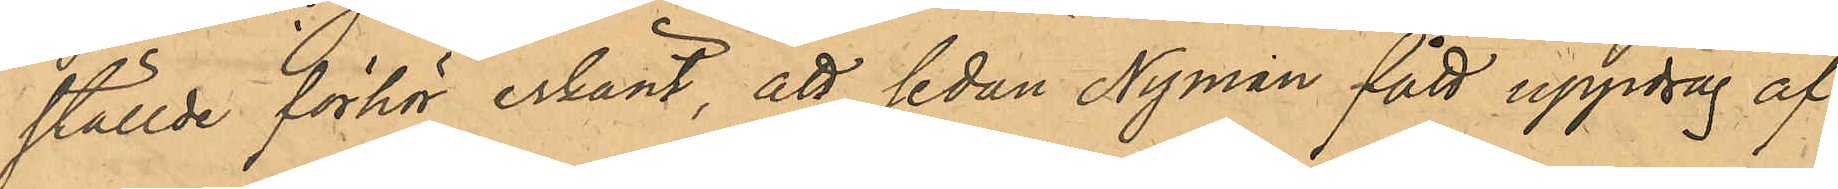ställde förhör erkänt, att sedan Nyman fått uppdrag af
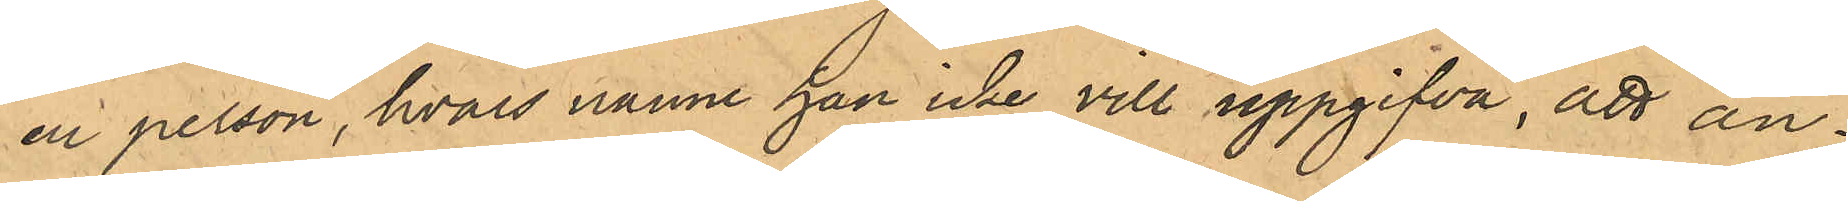en person, hvars namn han icke vill uppgifva, att an¬
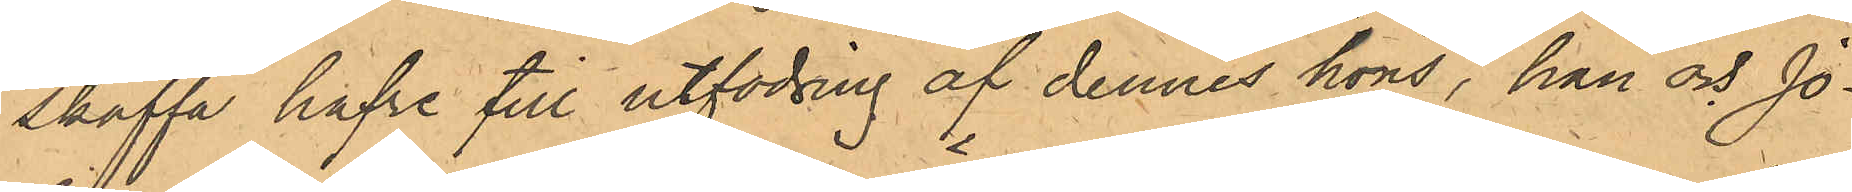skaffa hafre till utfodring af dennes höns, han och Jo¬
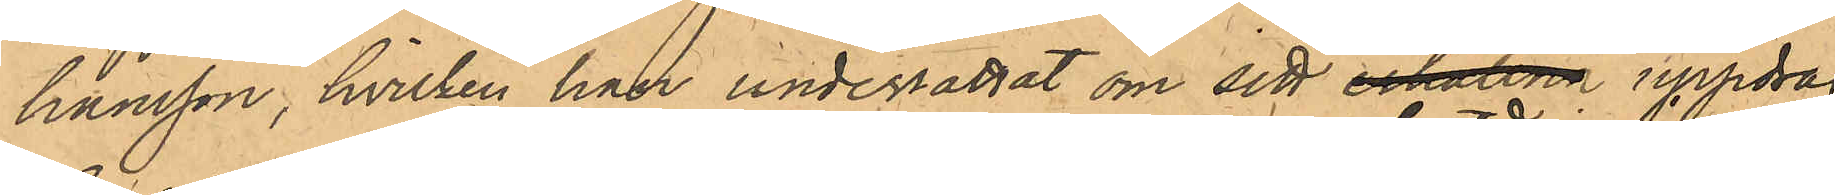hansson, hvilken han underrättat om sitt erhållna uppdrag
